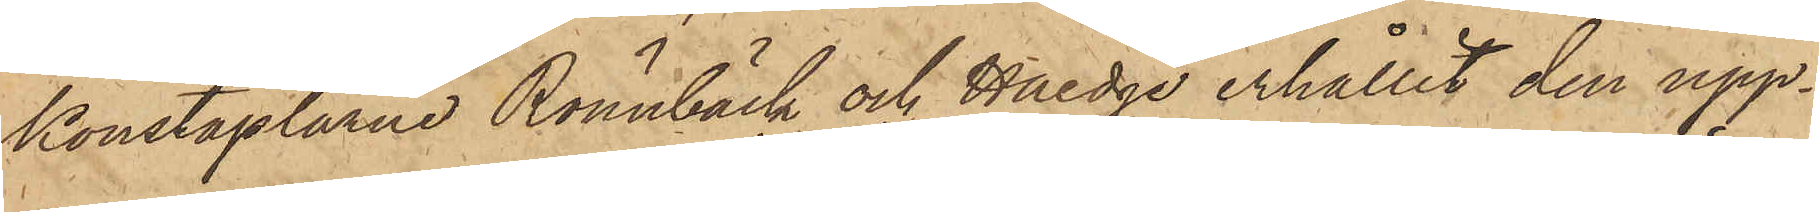Konstaplarne Rönnbäck och Haedge erhållit den upp¬
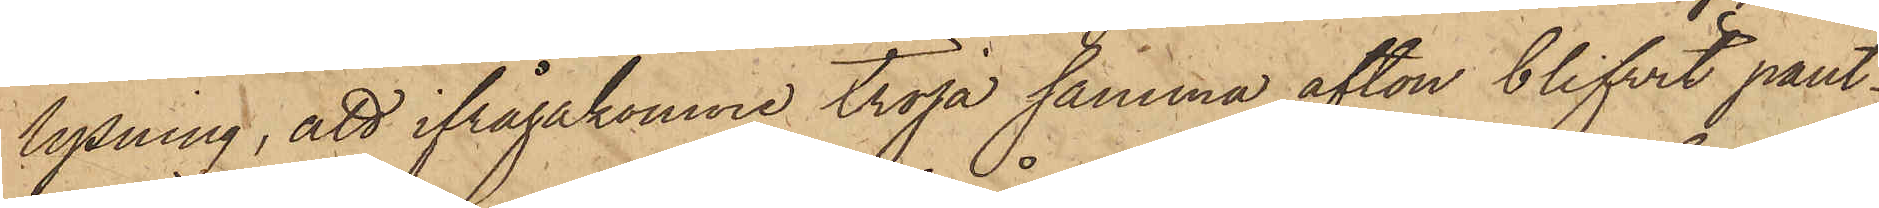lysning, att ifrågakomne tröja samma afton blifvit pant¬
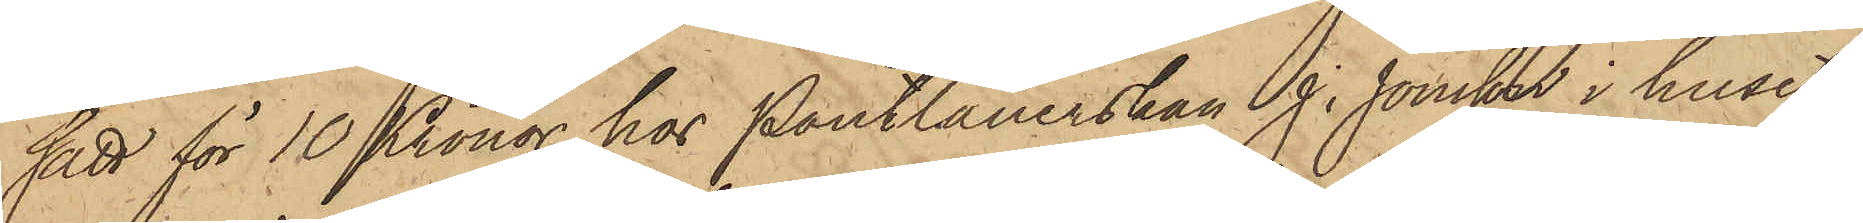satt för 10 Kronor hos Pantlånerskan J. Jonsson i huset
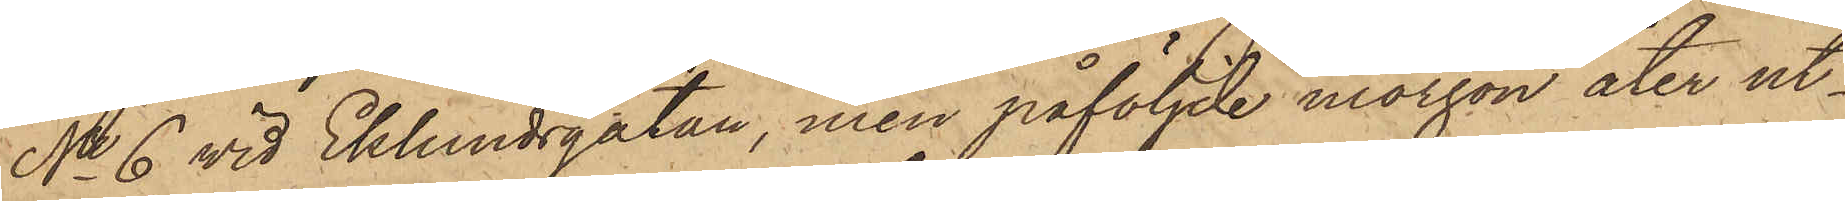No 6 vid Eklundsgatan, men påföljde morgon åter ut¬
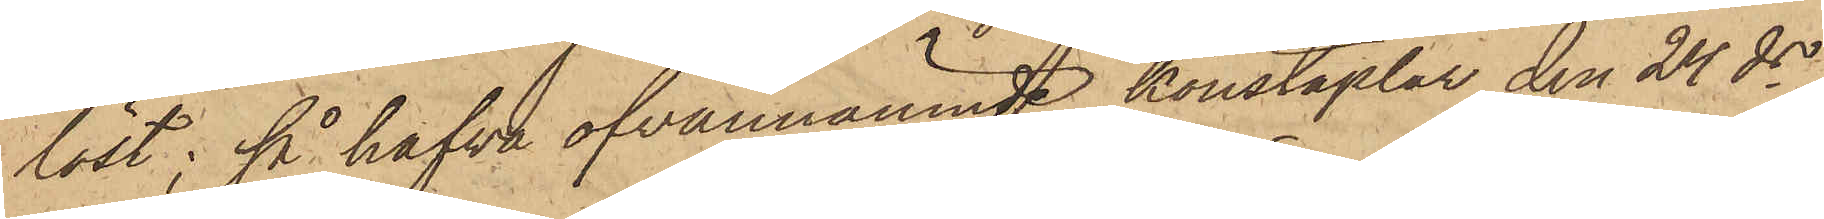löst; så hafva ofvannämnde konstaplar den 24 ds
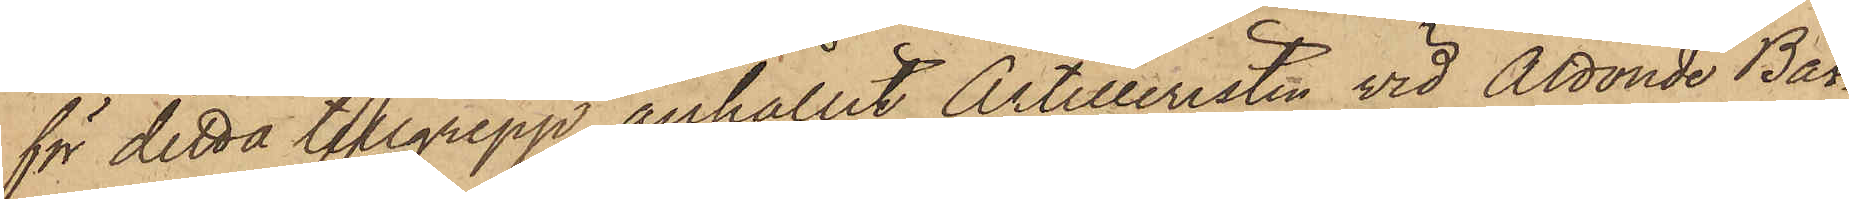för detta tillgrepp anhållit Artilleristen vid Åttonde Bat¬
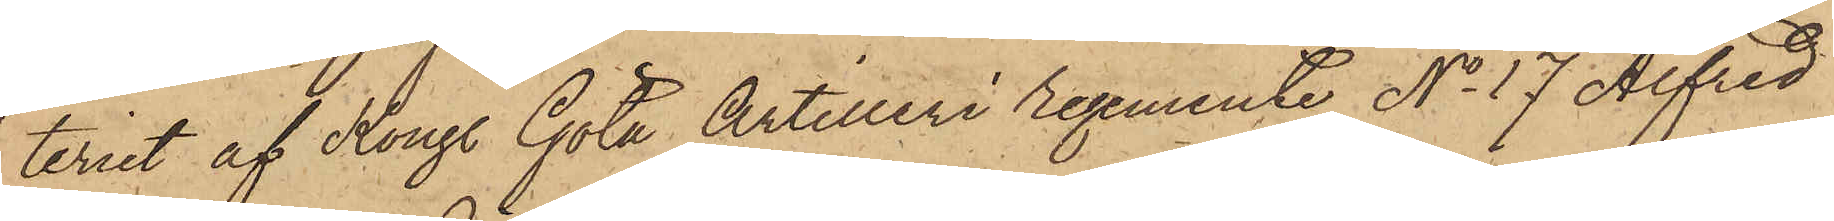teriet af Kongl. Göta Artilleri Regemente No 17 Alfred
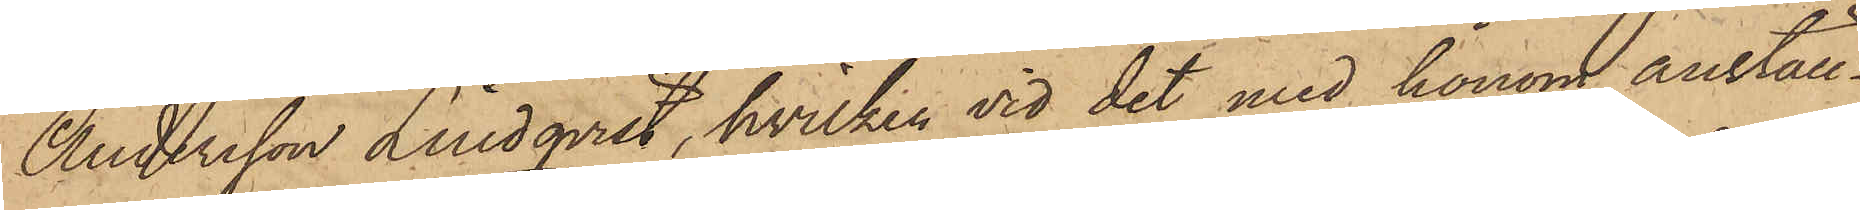Andersson Lindqvist, hvilken vid det med honom anställ¬
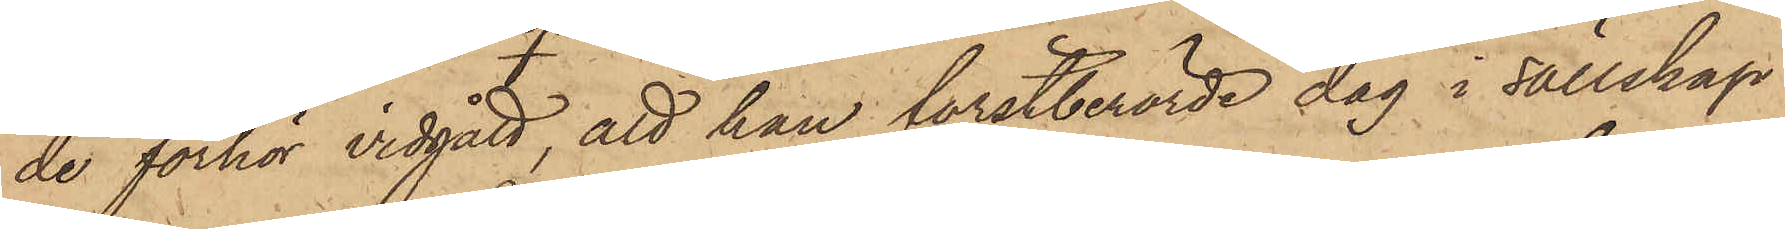de förhör vidgått, att han förstberörde dag i sällskap
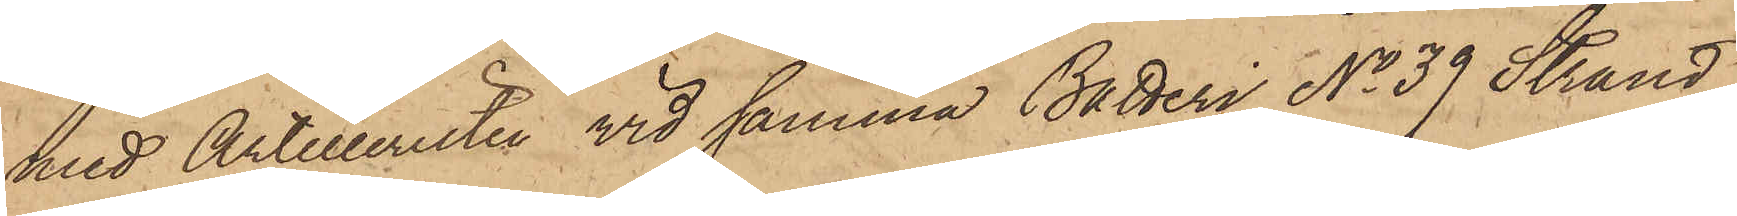med Artilleristen vid samma Batteri No 39 Strand
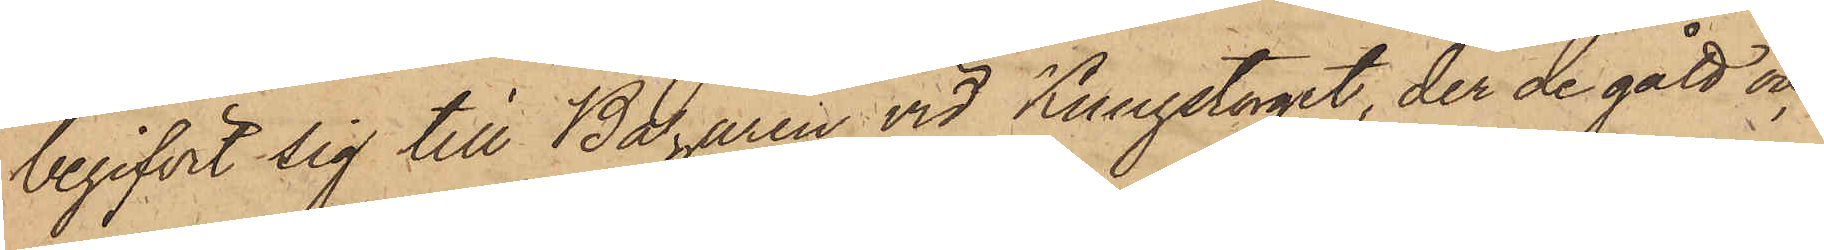begifvit sig till Bazaren vid Kungstorget, der de gått och
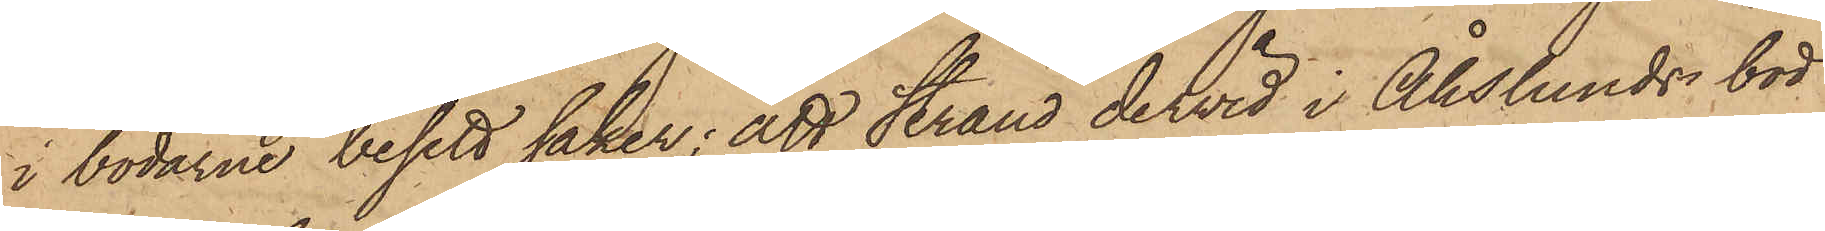i bodarne besett saker; att Strand dervid i Åhslunds bod
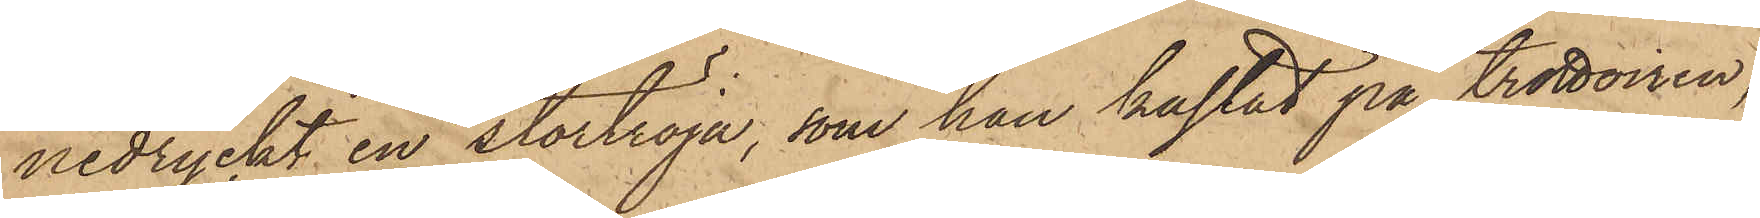nedryckt en stortröja, som han kastat på trottoiren,
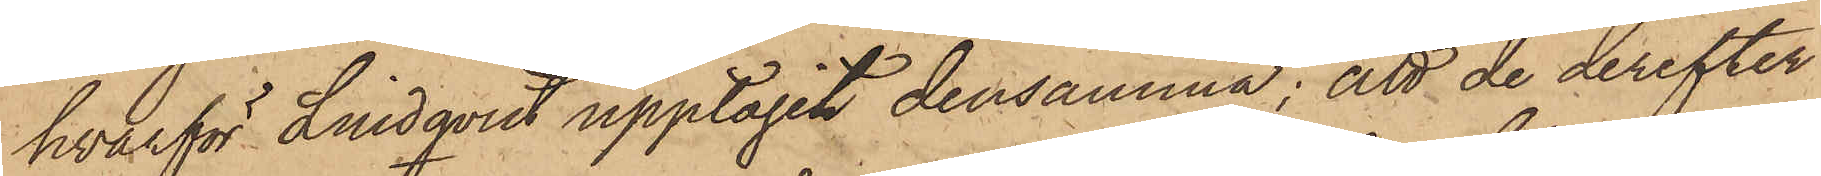hvarför Lindqvist upptagit densamma; att de derefter
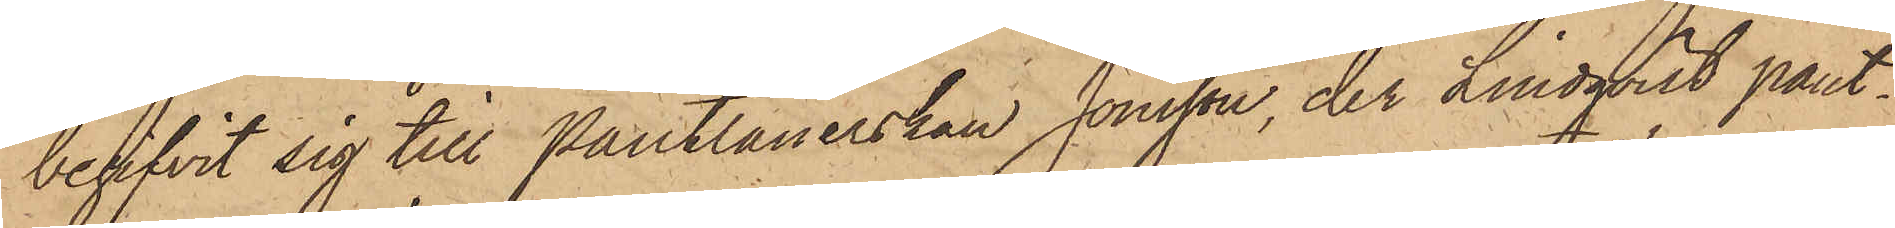begifvit sig till Pantlånerskan Jonsson, der Lindqvist pant¬
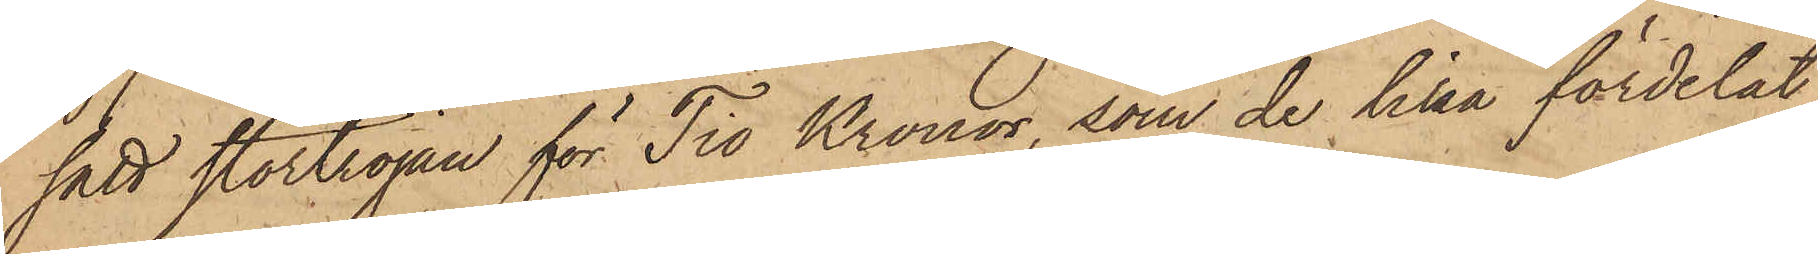satt stortröjan för Tio Kronor, som de lika fördelat
